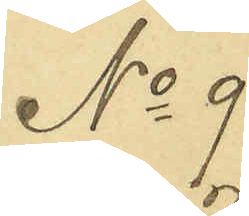No 9
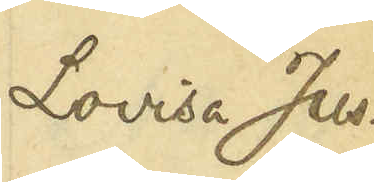Lovisa Jus¬
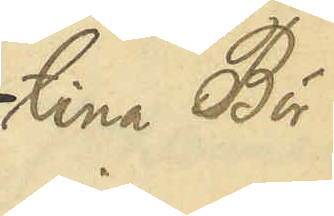tina Bör¬
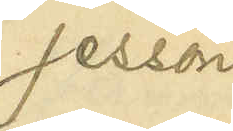jesson
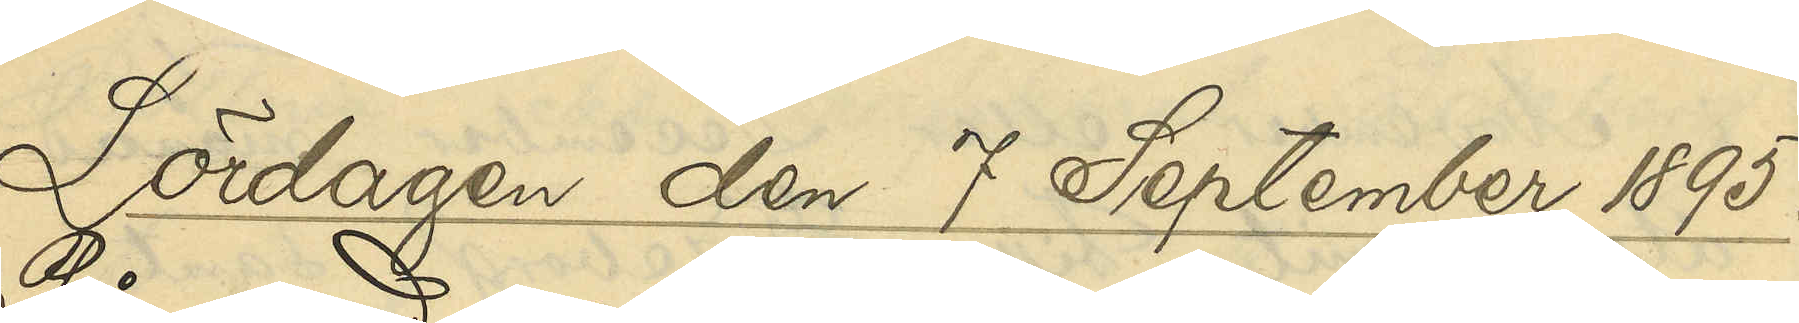Lördagen den 7 September 1895.
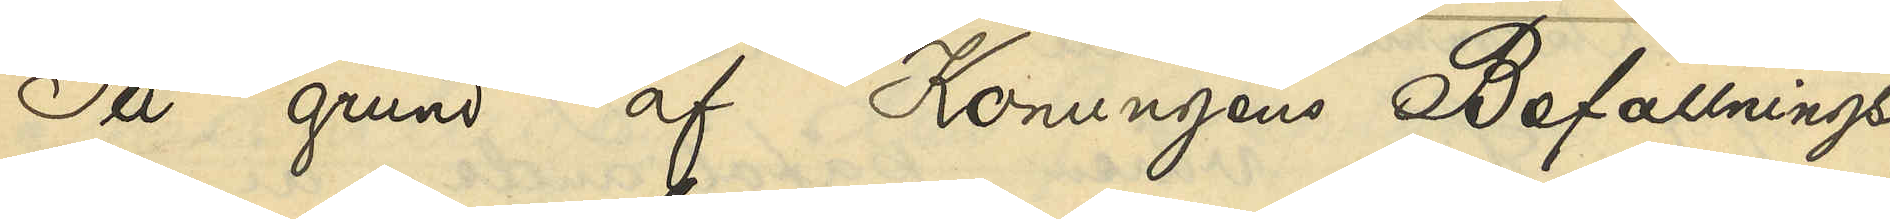På grund af Konungens Befallnings¬
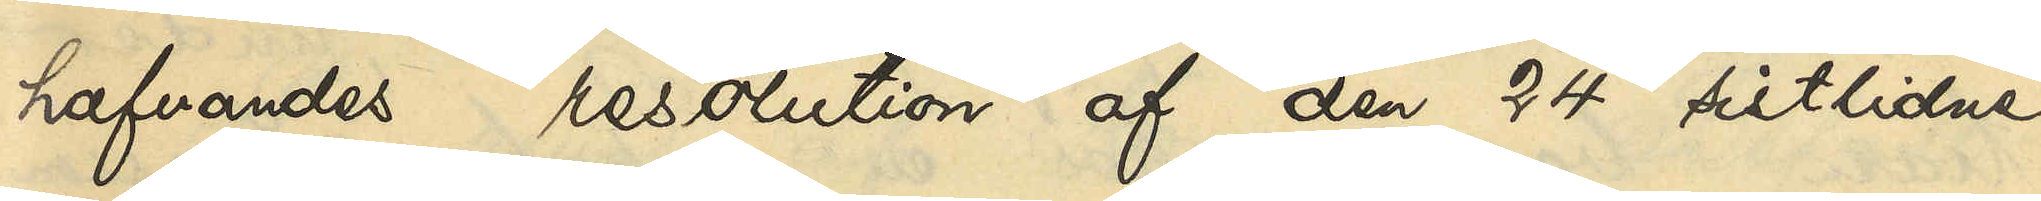hafvandes resolution af den 24 sistlidne
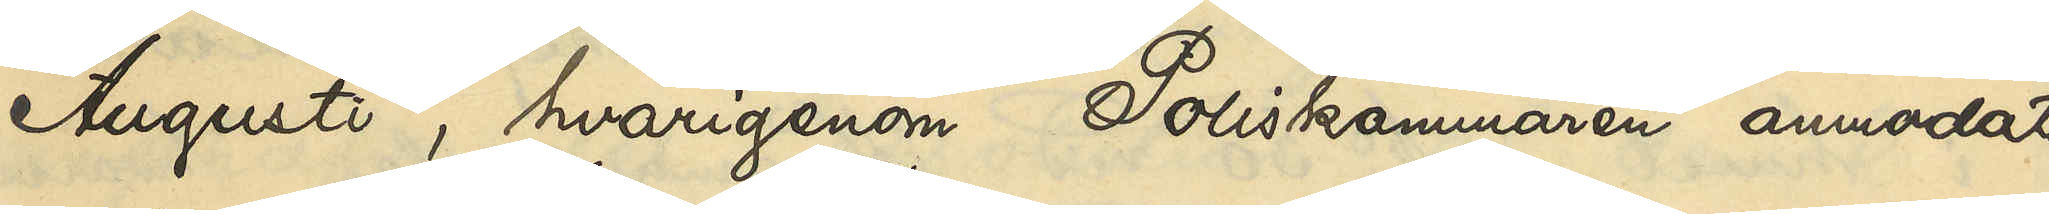Augusti, hvarigenom Poliskammaren anmodats
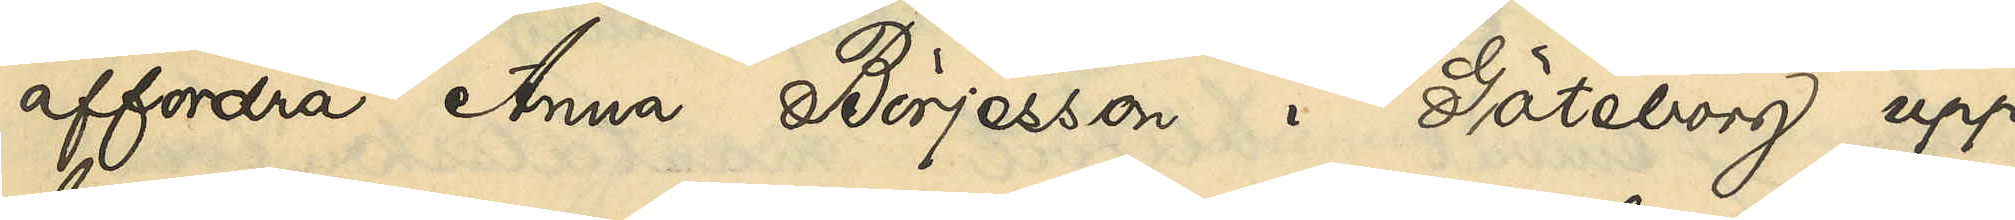affordra Anna Börjesson i Göteborg upp¬
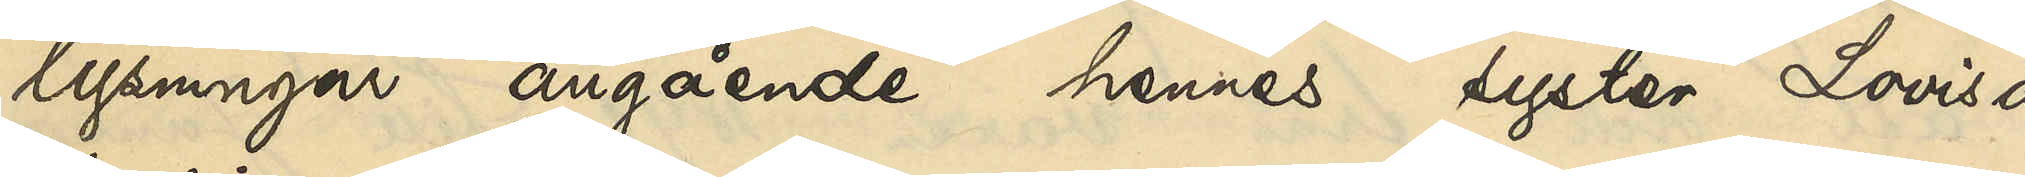lysningar angående hennes syster Lovisa
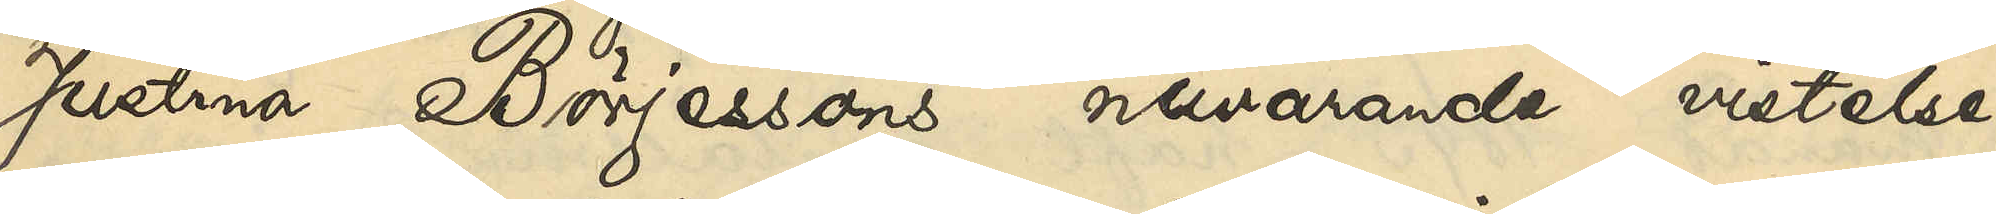Justina Börjessons nuvarande vistelse¬
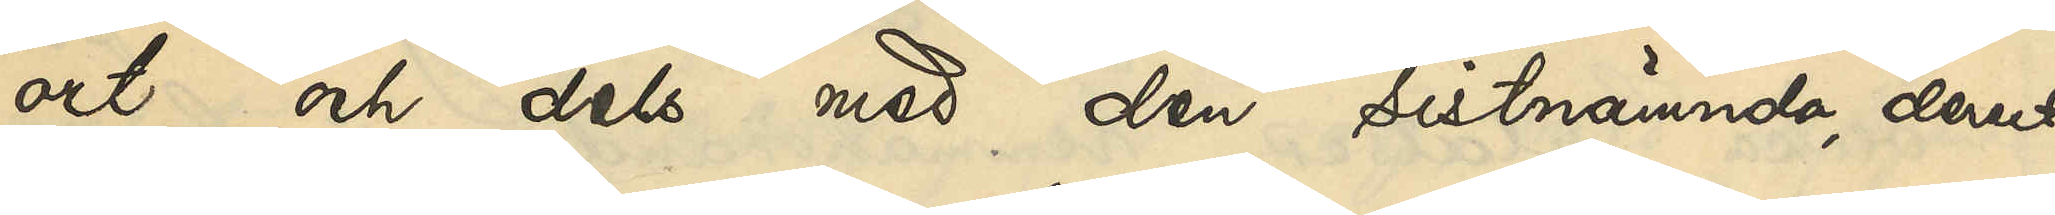ort och dels med den sistnämnda derest
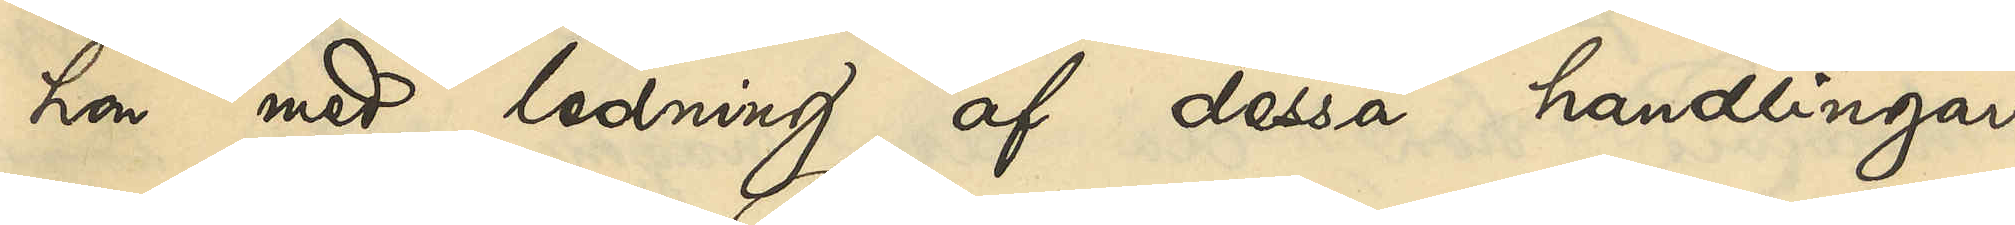hon med ledning af dessa handlingar
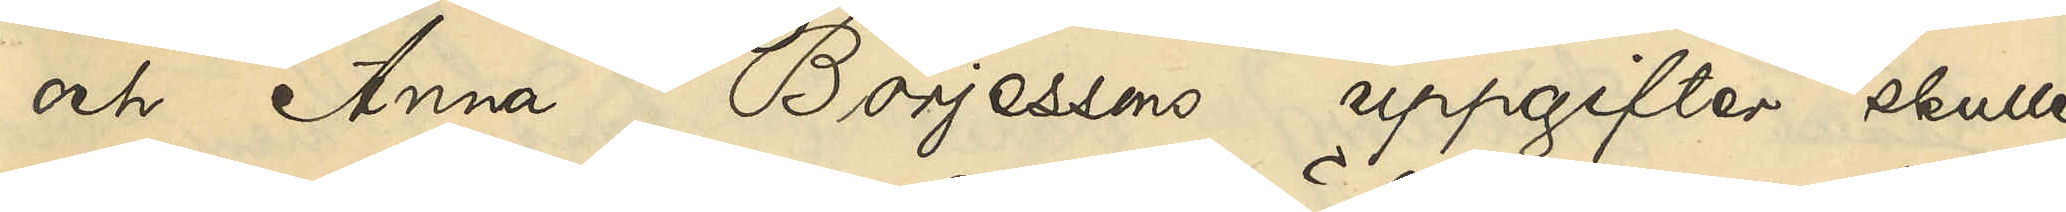och Anna Börjessons uppgifter skulle
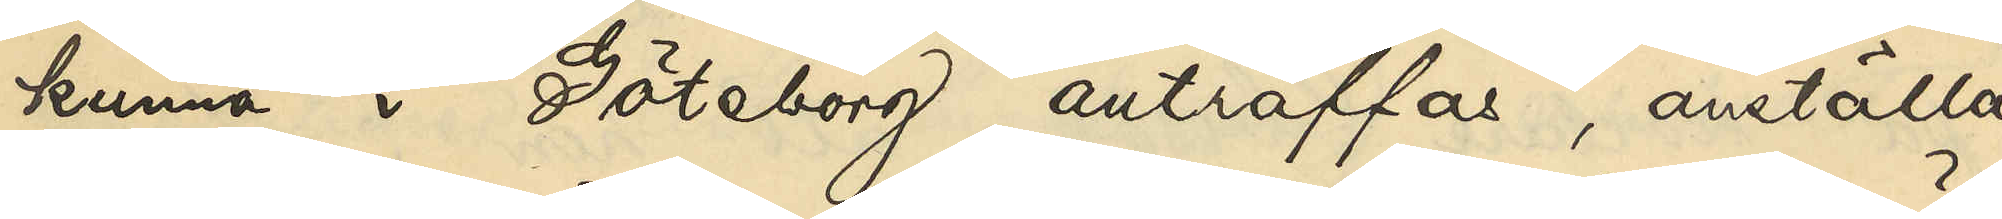kunna i Göteborg anträffas, anställa
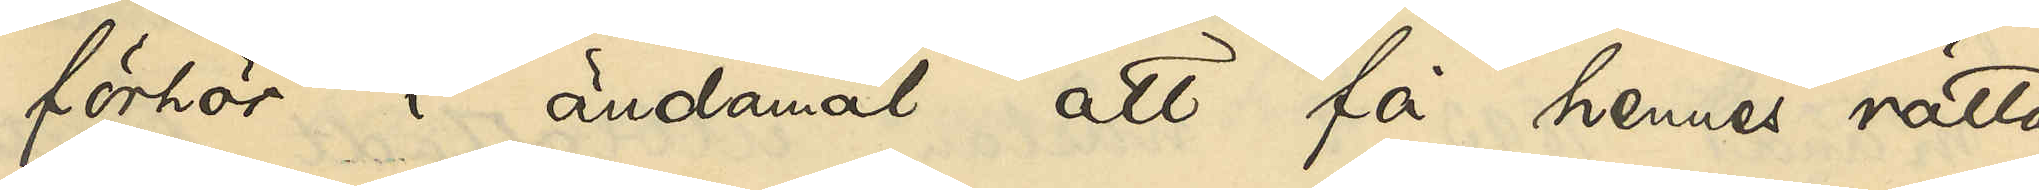förhör i ändamål att få hennes rätta
